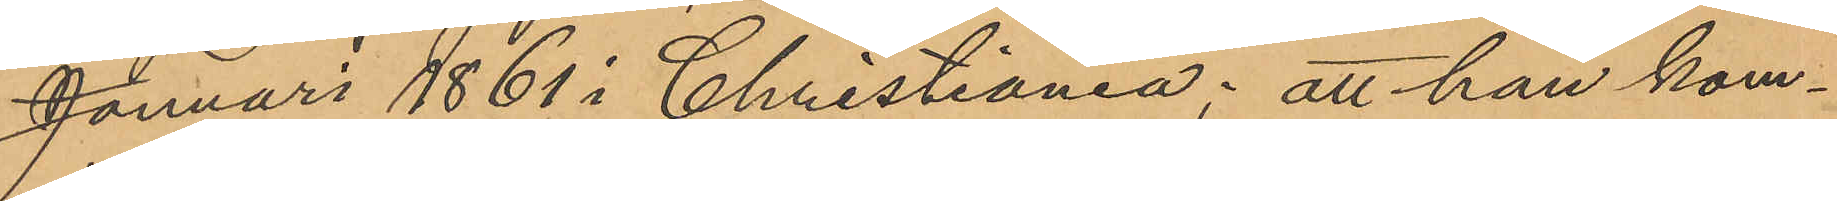Januari 1861 i Christiania; att han kom¬
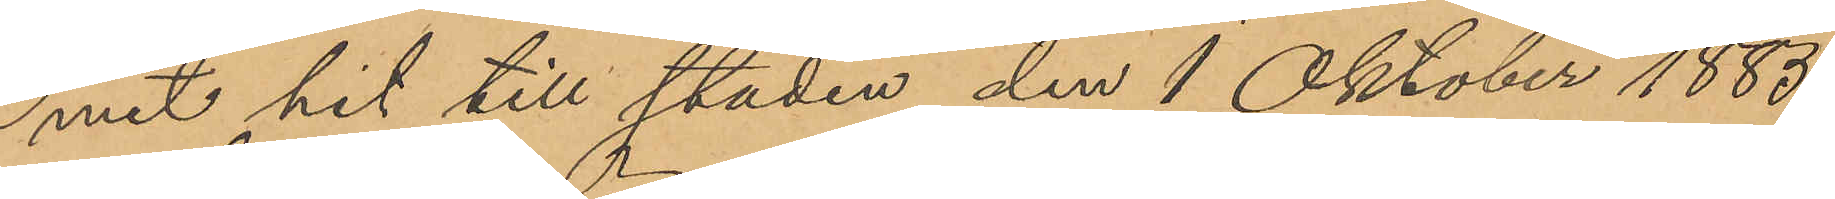mit hit till staden den 1 Oktober 1885,
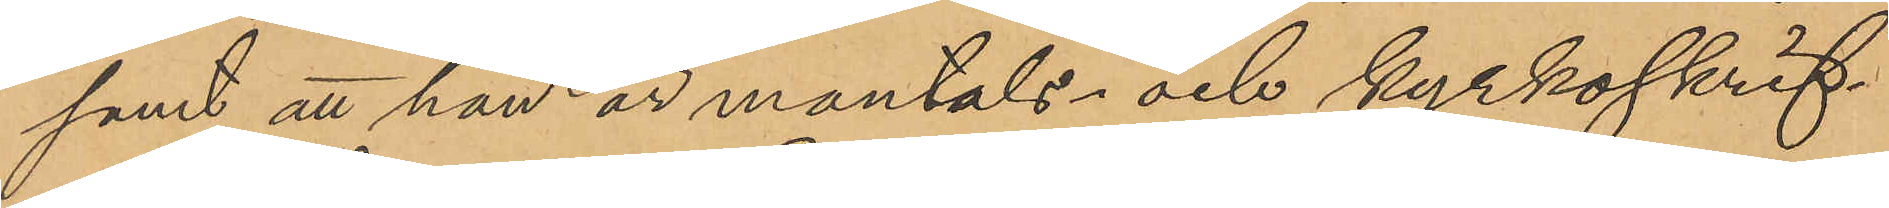samt att han är mantals- och kyrkoskrif¬
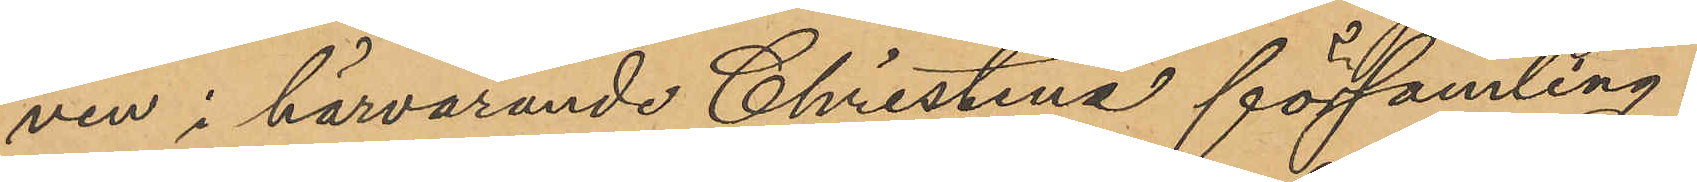ven i härvarande Christina församling.
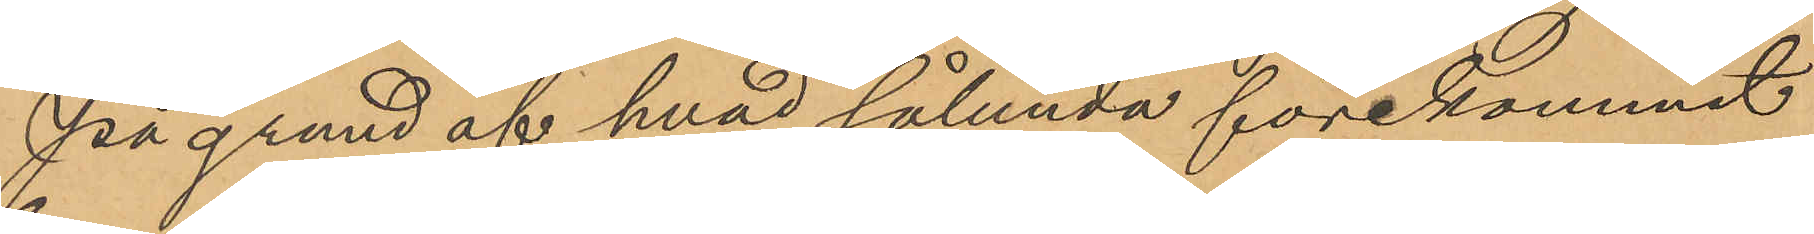På grund af hvad sålunda förekommit
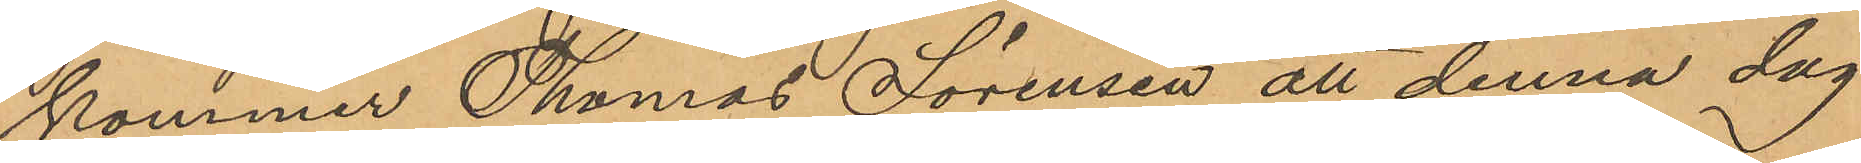kommer Thomas Sörensen att denna dag
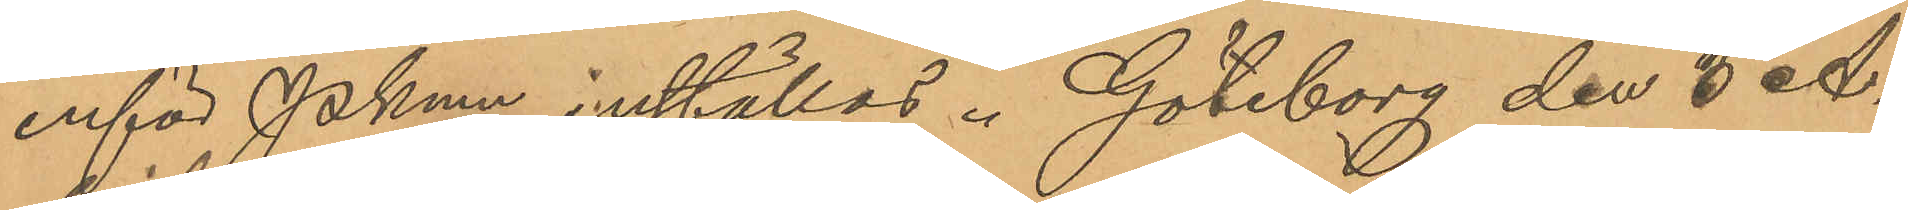inför Pkmn inställas. Göteborg den 8 A¬
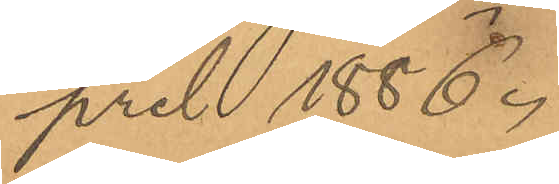pril 1886.
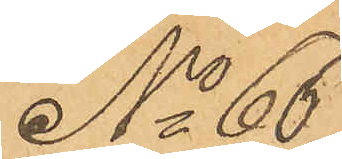No 66
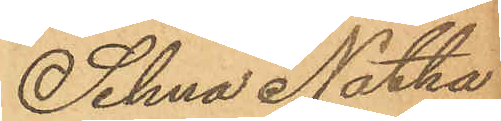Selma Natha¬
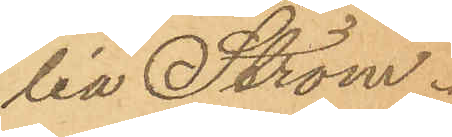lia Ström.
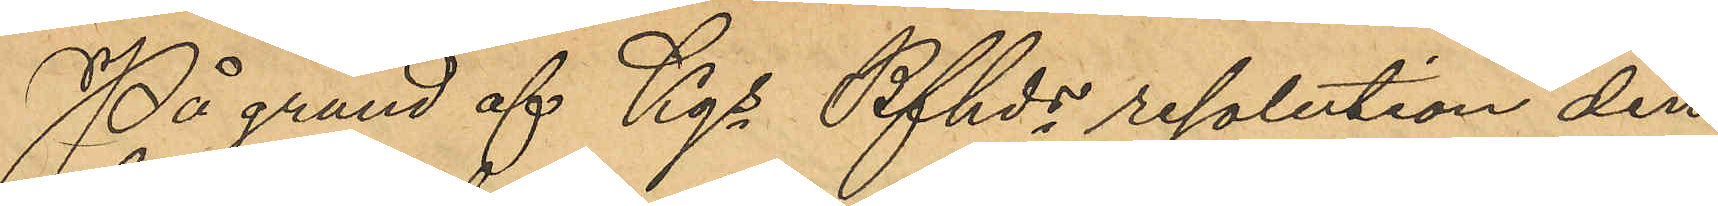På grund af Kgs Bfhds resolution den
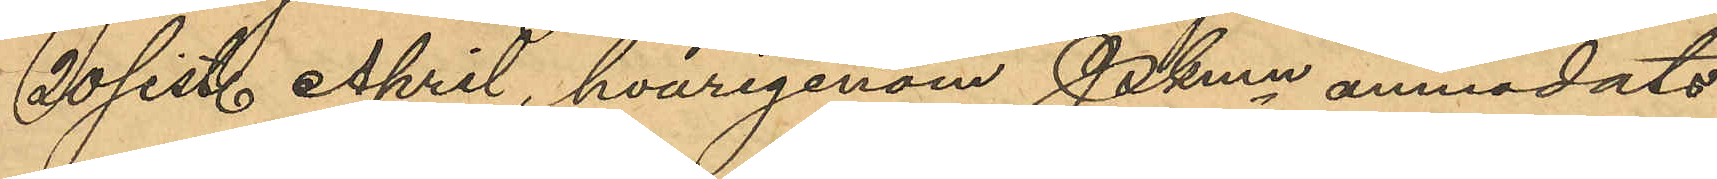20 sist. April, hvarigenom Pkmn anmodats
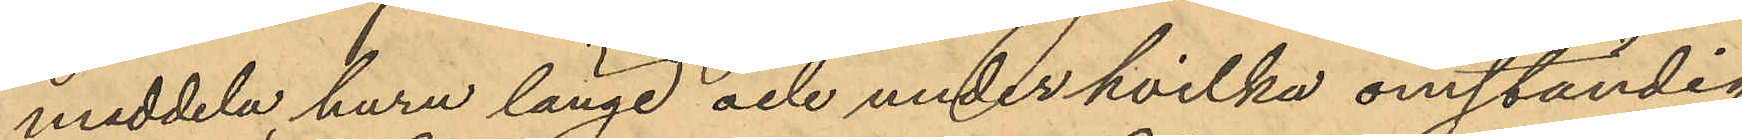meddela, huru länge och under hvilka omständig¬
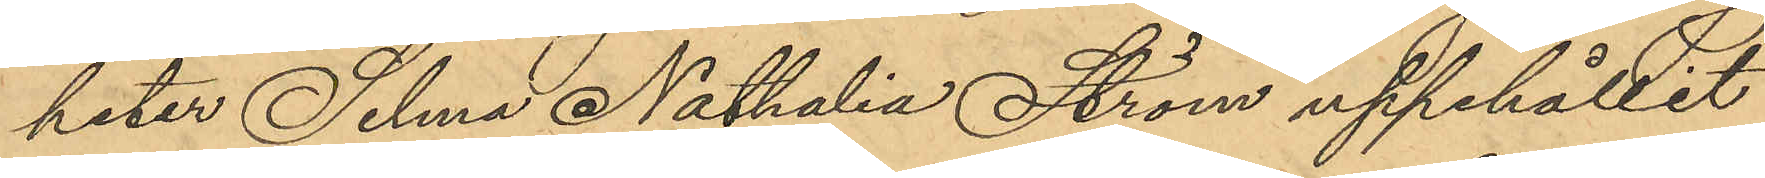heter Selma Nathalia Ström uppehållit
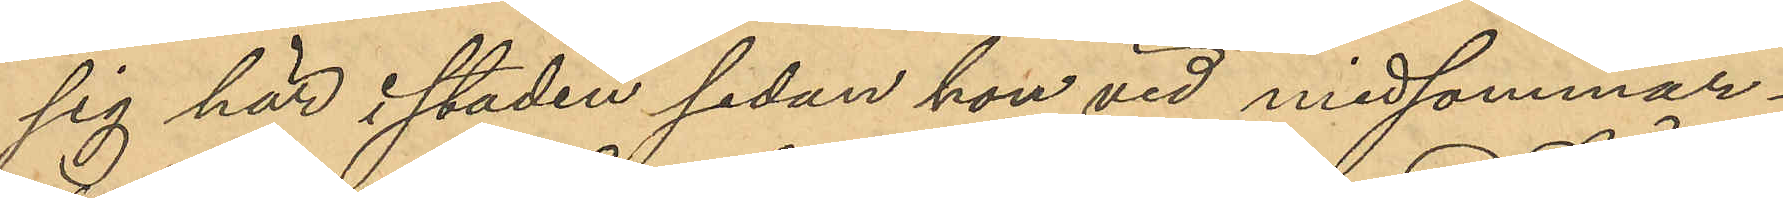sig här i staden sedan hon vid midsommar¬
